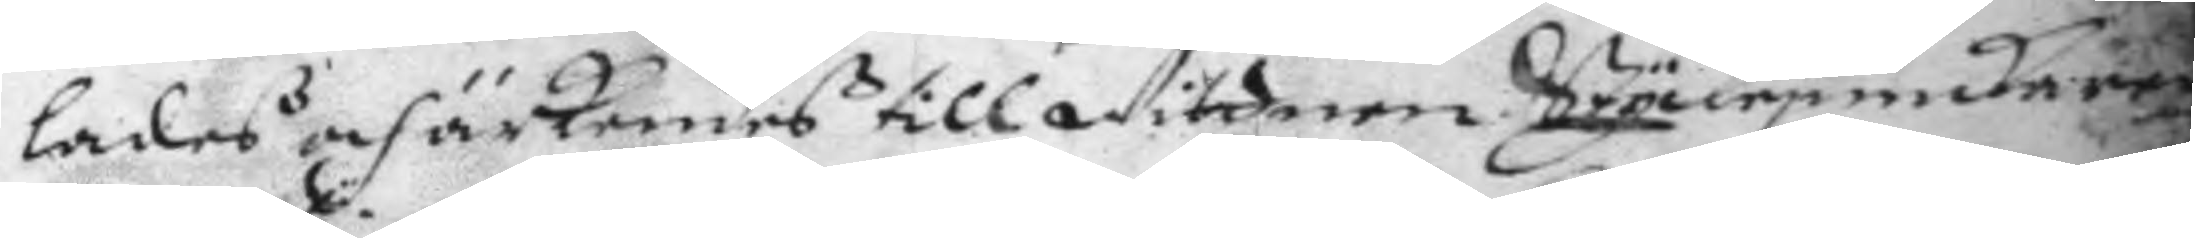ladeß och ärkendeß till Wittnen Styckejunkaren
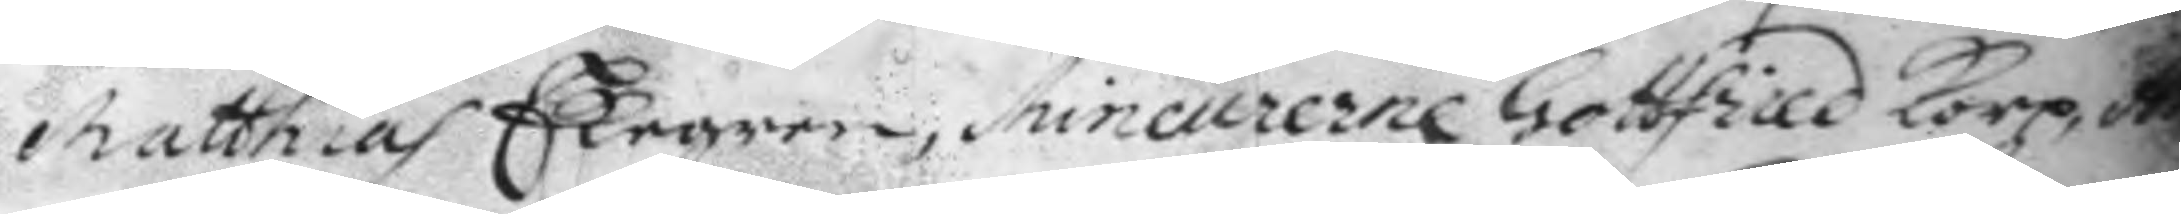Matthias Ekegren, Mineurerne Gottfried Korp, A
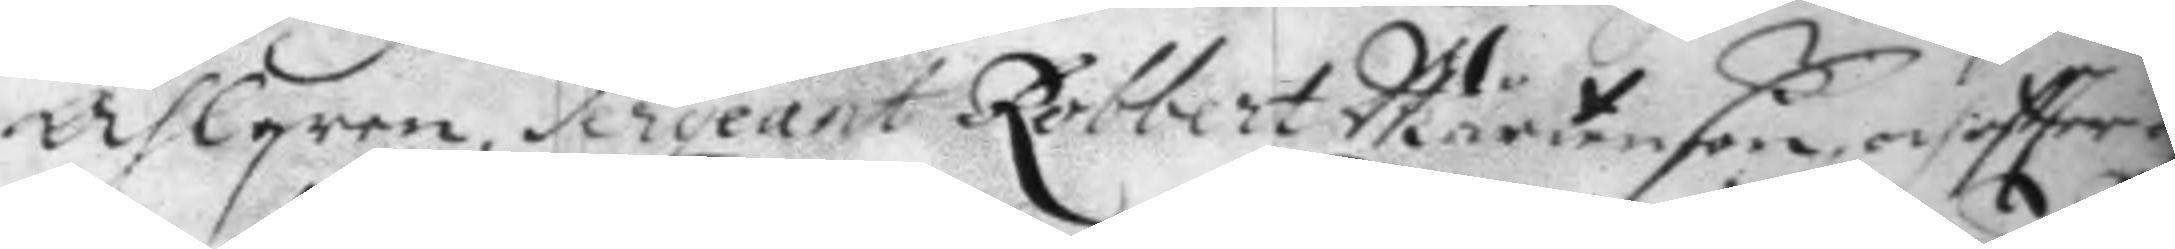Ahlgren, Sergeant Robbert Mårtenßon och eftter 
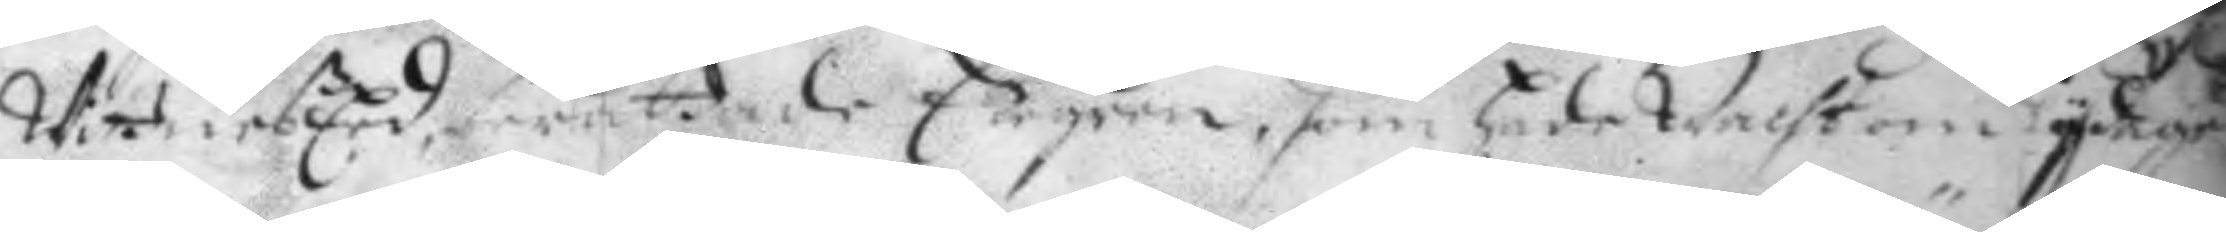WitneßEed berättade Ekegren, ßom hade Wachten Sydagen
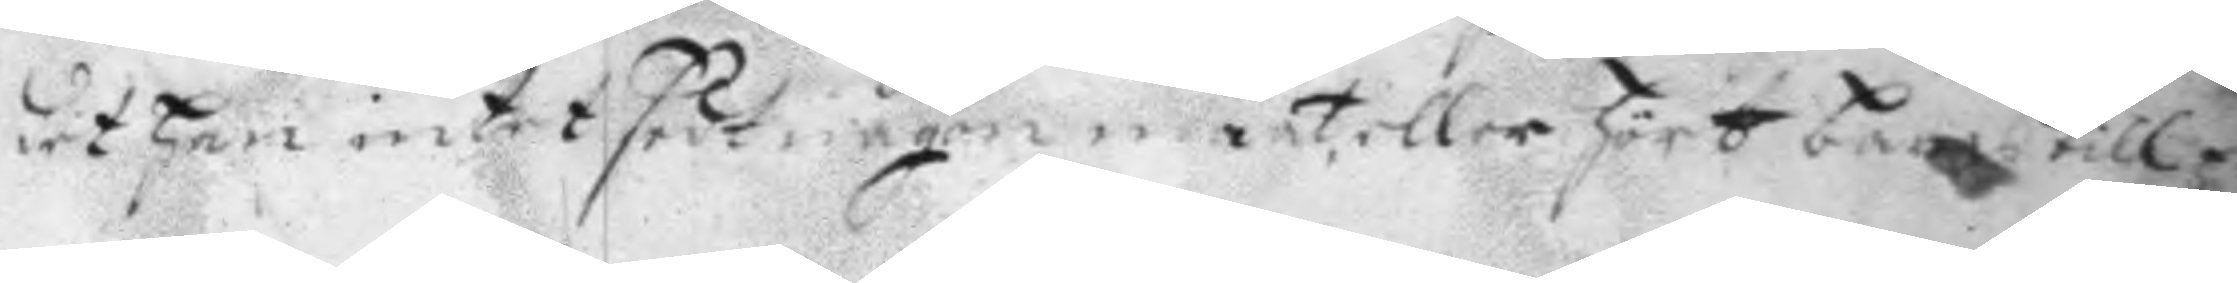det han intet sedt någon maat, eller hört bäraß till
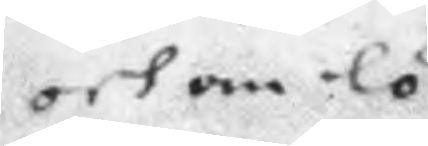och om lö¬
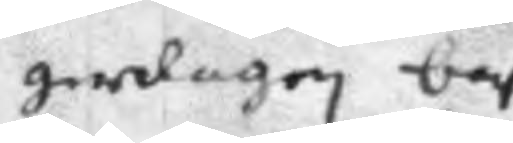gerdagen bar
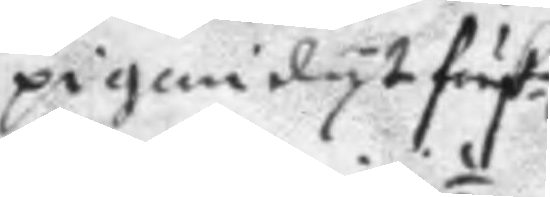pigan dyt färsl
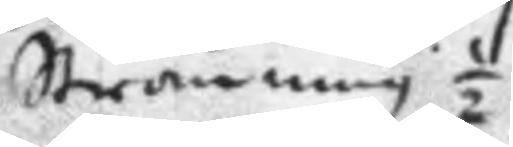Ströming ½
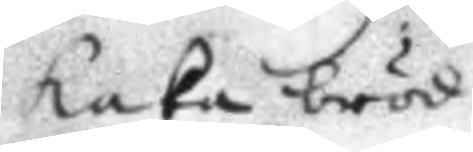kaka bröd
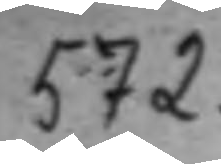572.
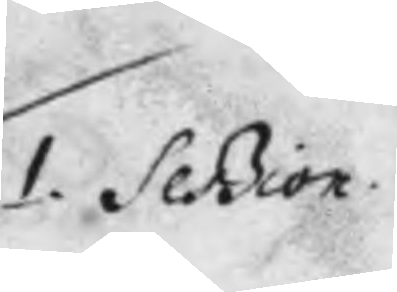1. Session.
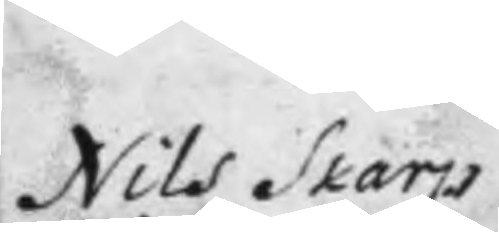Nils Skarps
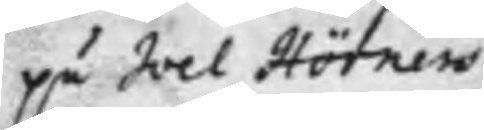på Joel Hörners 
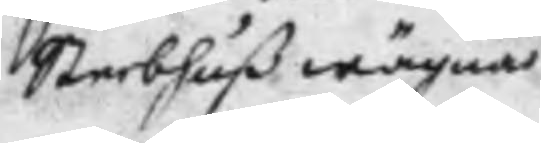Sterbhuß wägnar
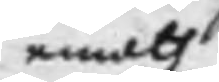emoth
